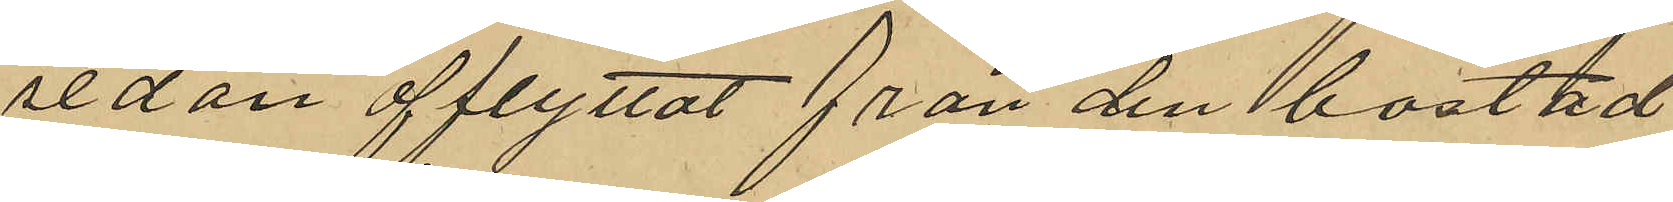sedan afflyttat från den bostad
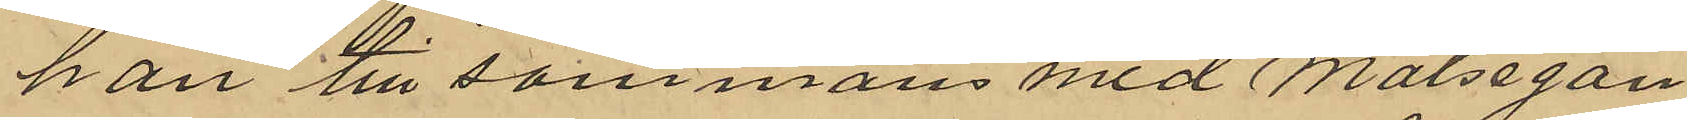han tillsammans med Målsegan¬
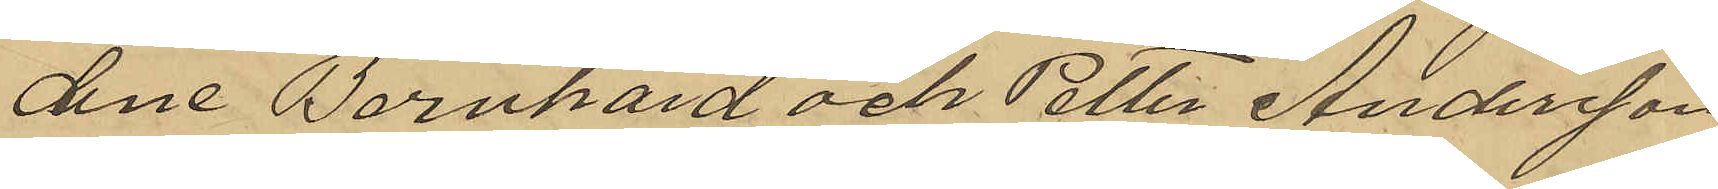dene Barnhard och Petter Andersson
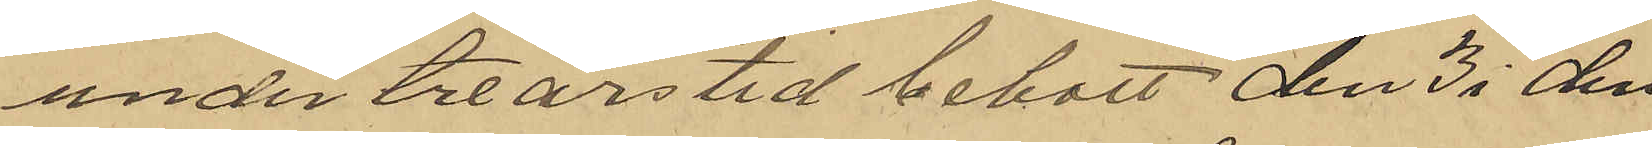under treårs tid bebott den 3 i den¬
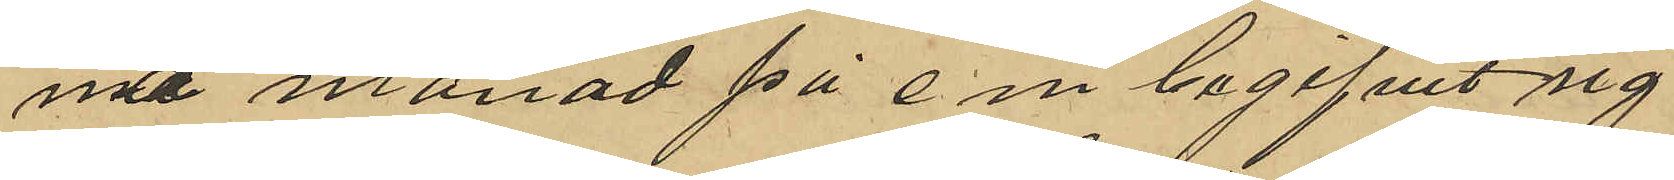na månad på em begifvit sig
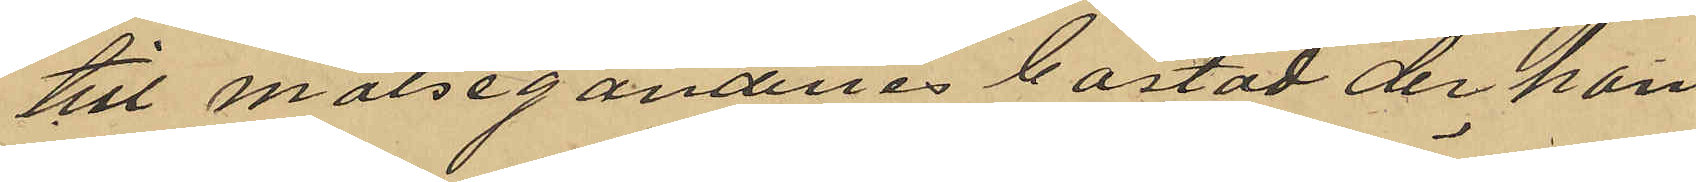till målsegandenes bostad der han
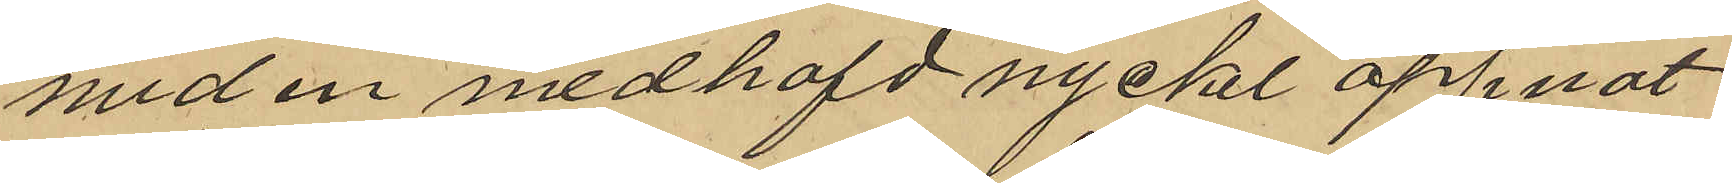med en medhafd nyckel öppnat
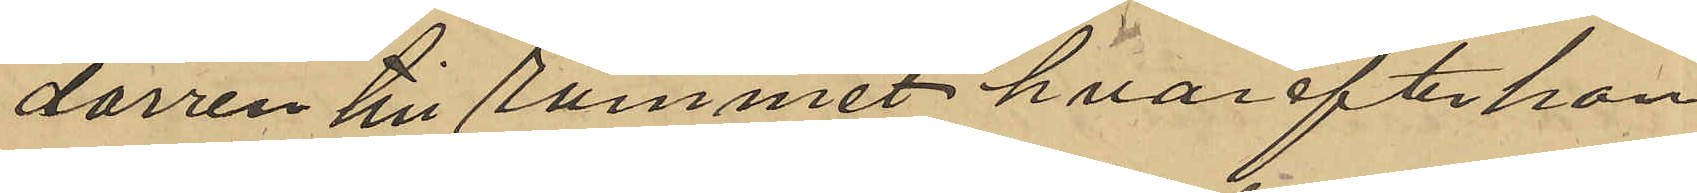dörren till rummet hvarefter han
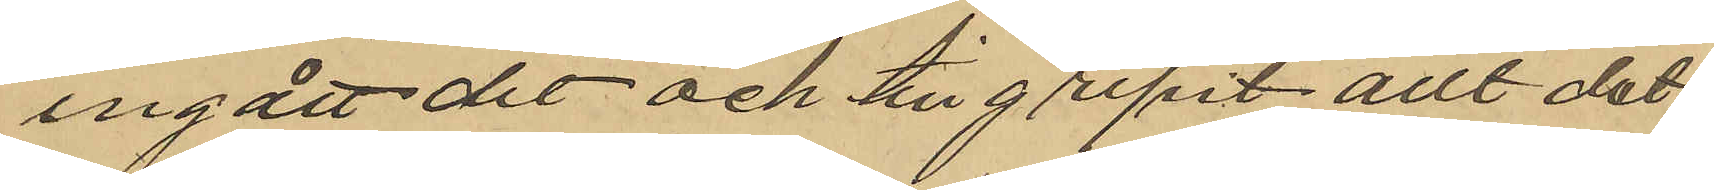ingått dit och tillgripit allt det
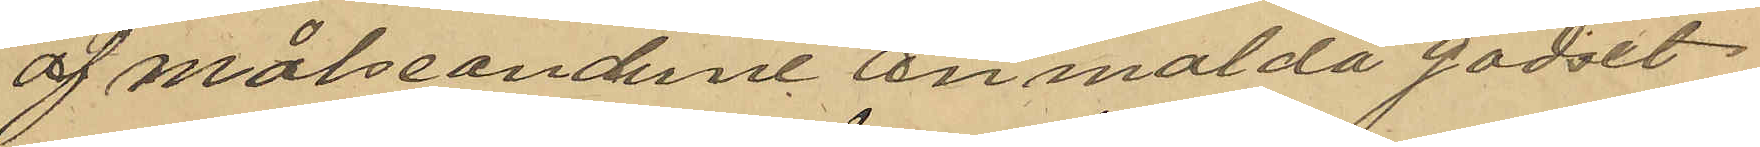af målseanderne anmälda godset
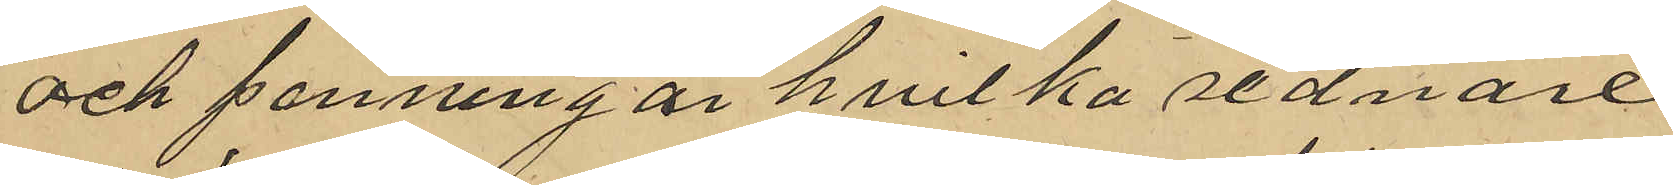och penningar hvilka sednare
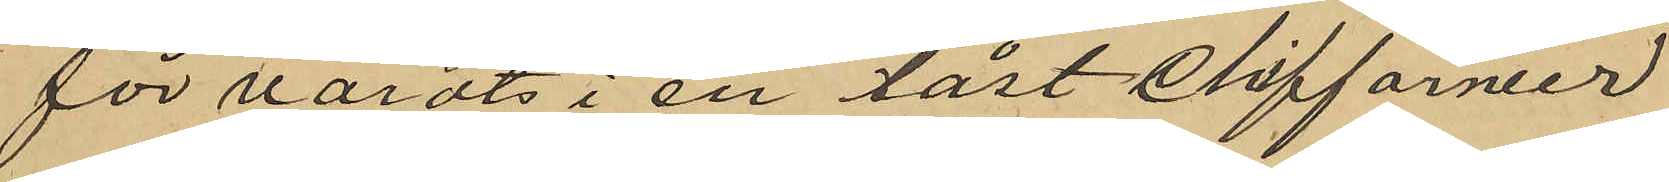förvarats i en låst chiffarneer
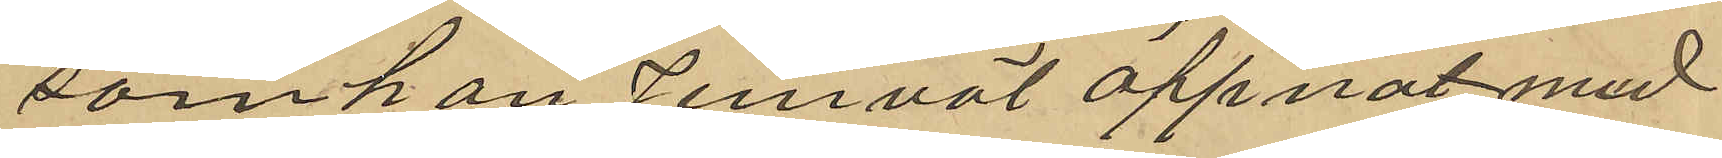som han jemväl öppnat med
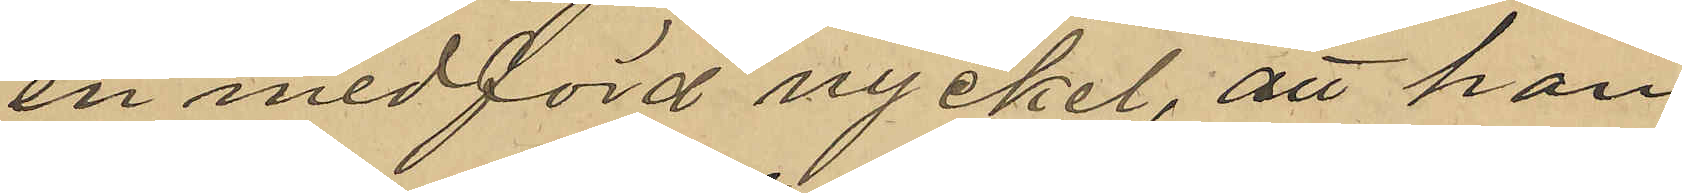en medförd nyckel, att han
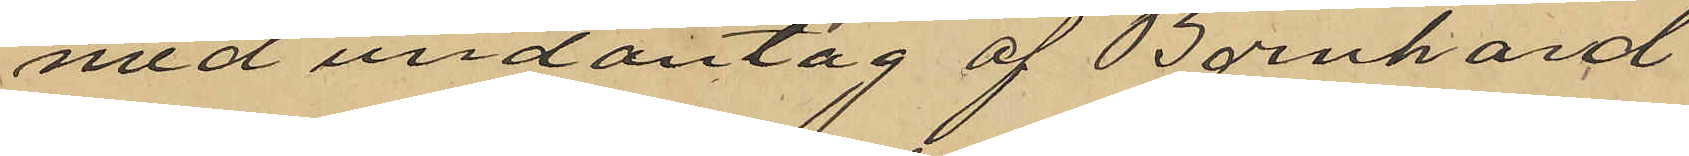med undantag af Bernhard
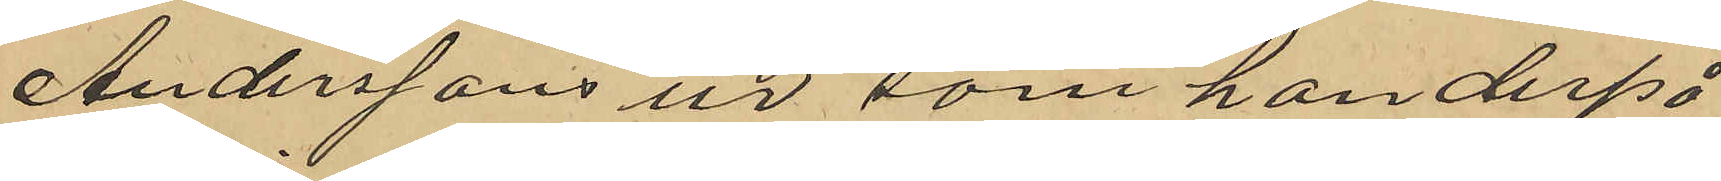Anderssons ur som han derpå
